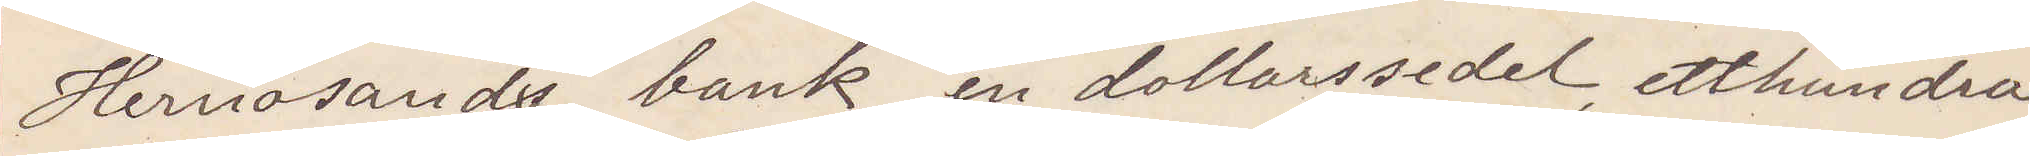Hernösands bank en dollarsedel, ett hundra¬
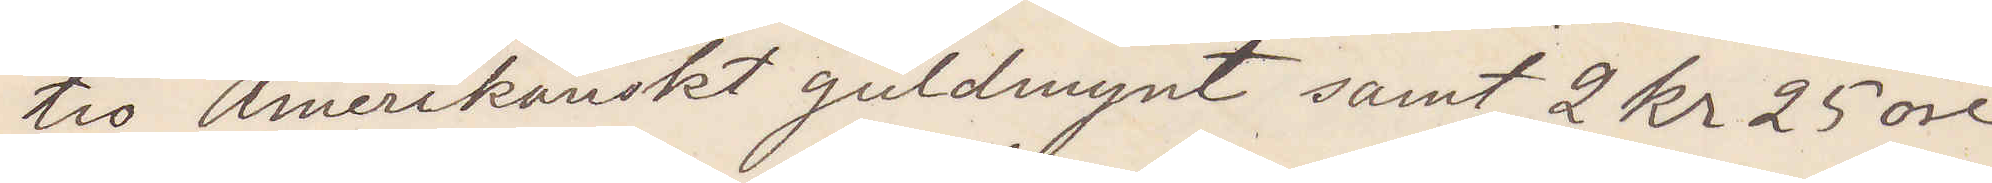tio Amerikanskt guldmynt samt 2 kr 25 öre
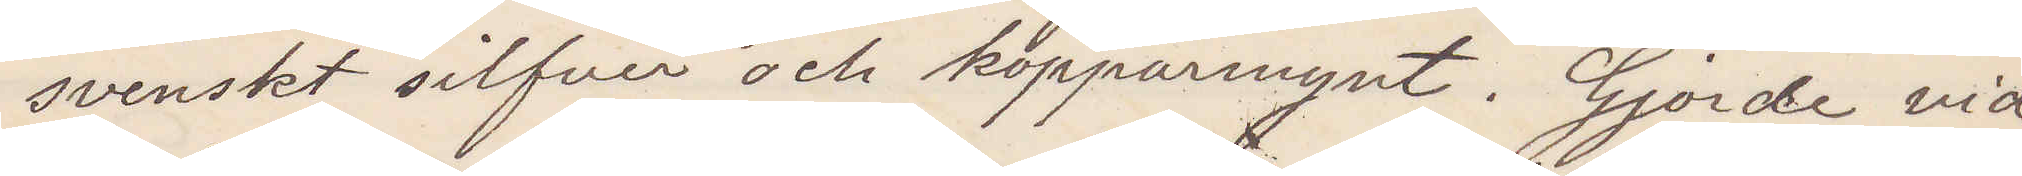svanskt silfver och kopparmynt. Gjorde vid
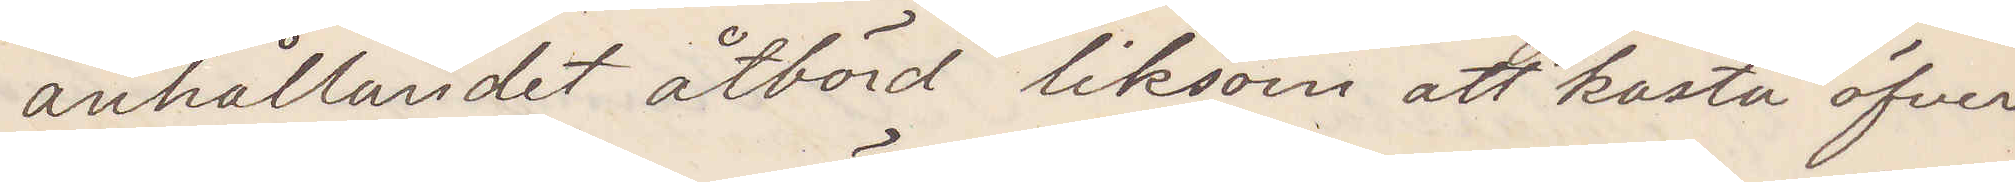anhållandet åtbörd liksom att kasta öfver
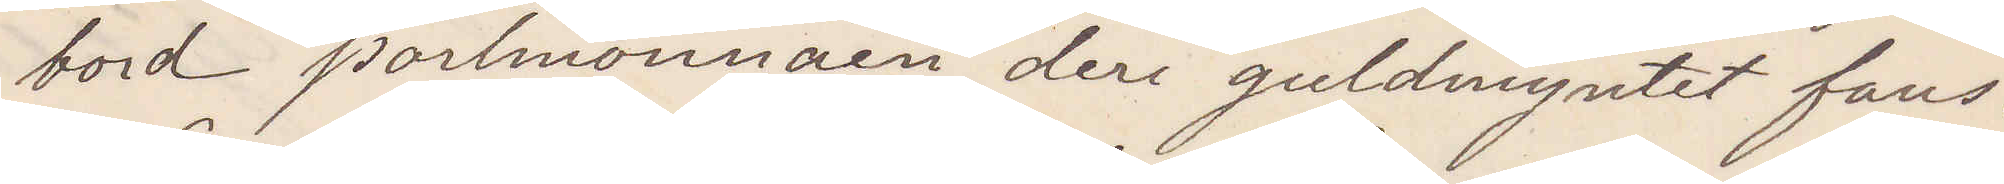bord portmonnäen, deri guldmyntet fans.
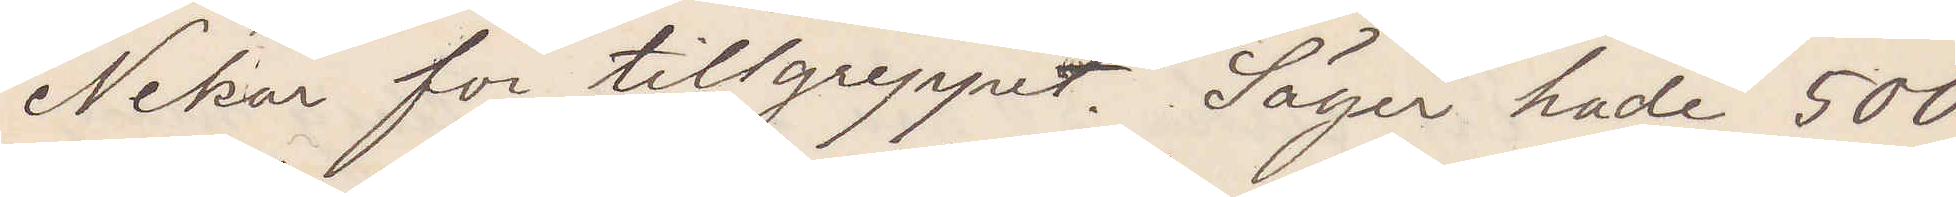Nekar för tillgreppet. Säger hade 500
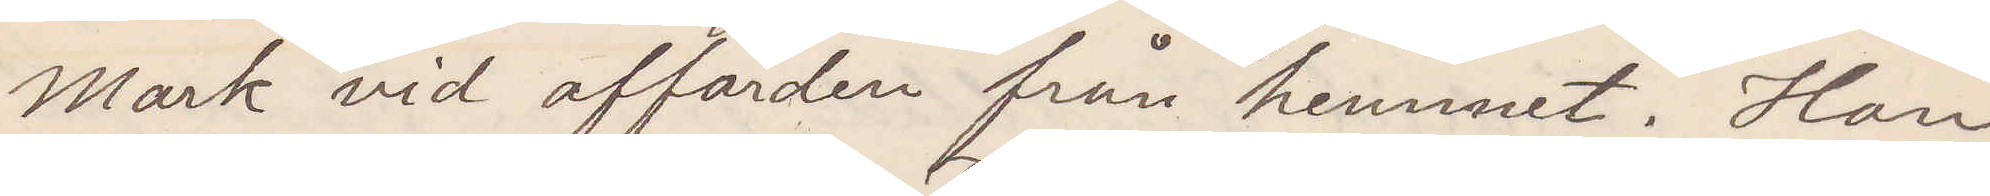Mark vid affärden från hemmet. Han
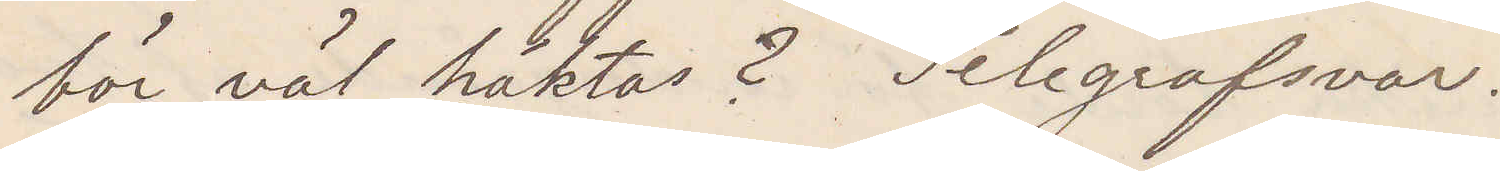bör väl häktas? Telegrafsvar.
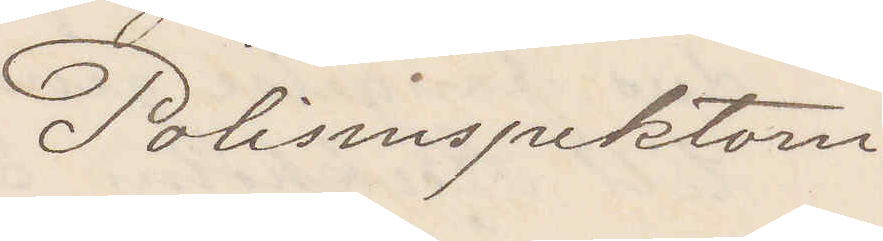Polisinspektorn
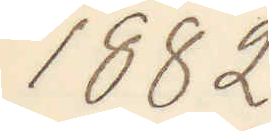1882
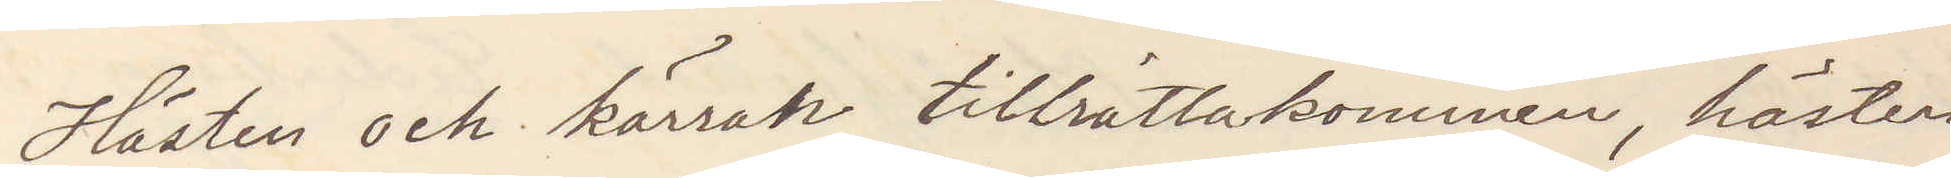Hästen och kärran tillrättakommen hästen
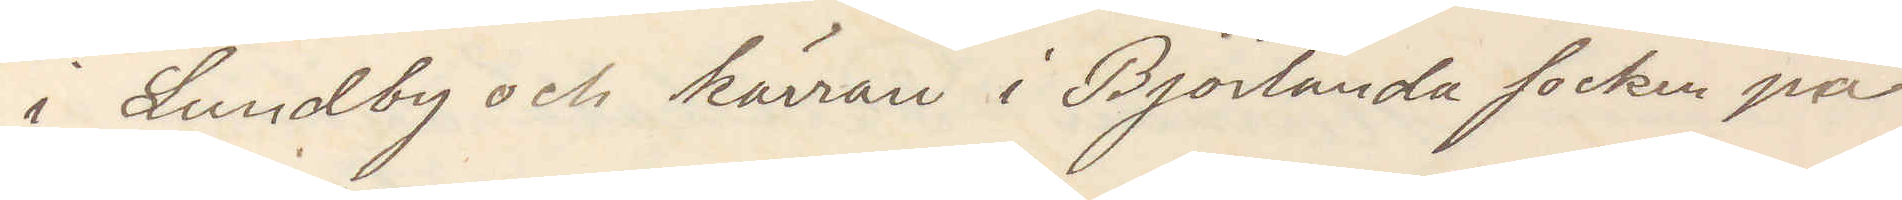i Lundby och kärran i Björlanda på
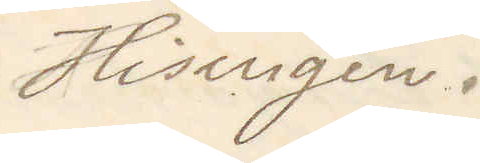Hisingen.
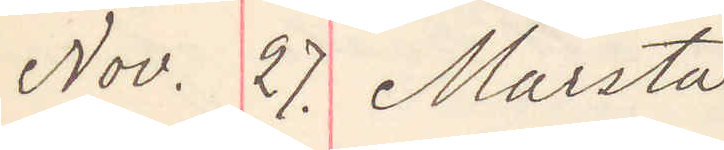Nov. 27. Märsta
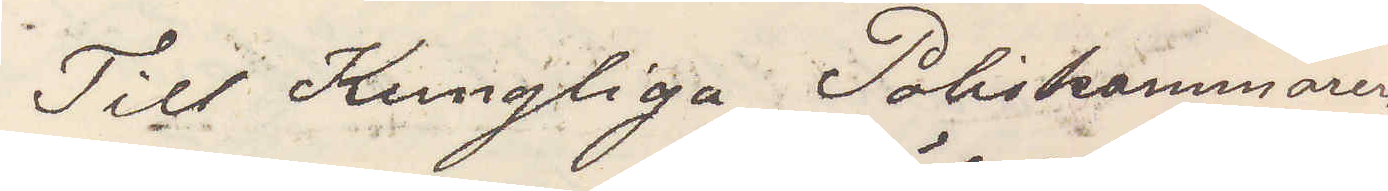Till Kungliga Poliskammaren
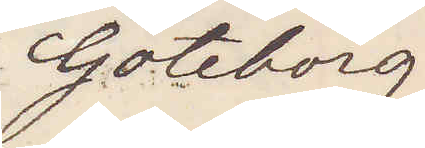Göteborg
